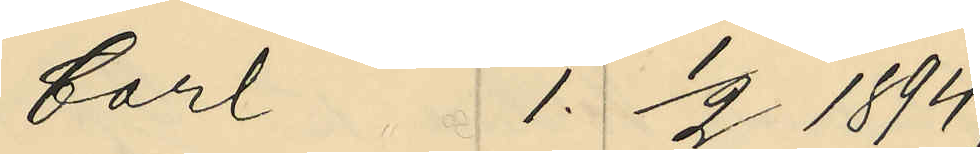Carl 1. 1/2 1894;
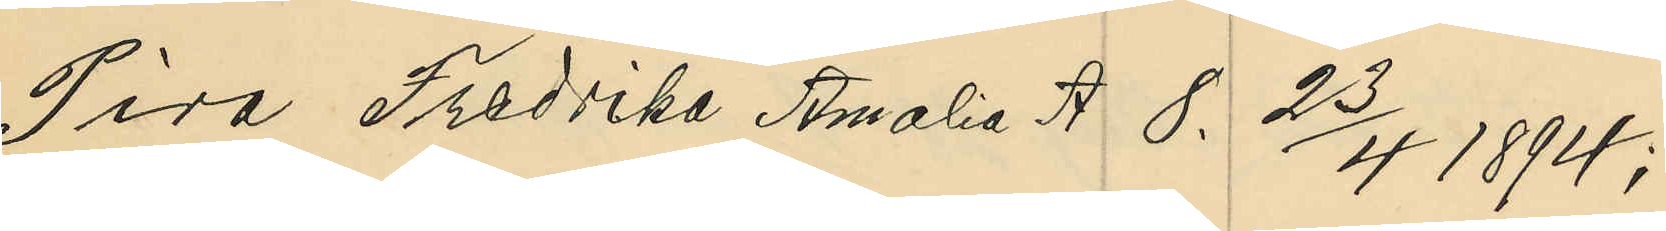Pira Fredrika Amalia A 8. 23/4 1894;
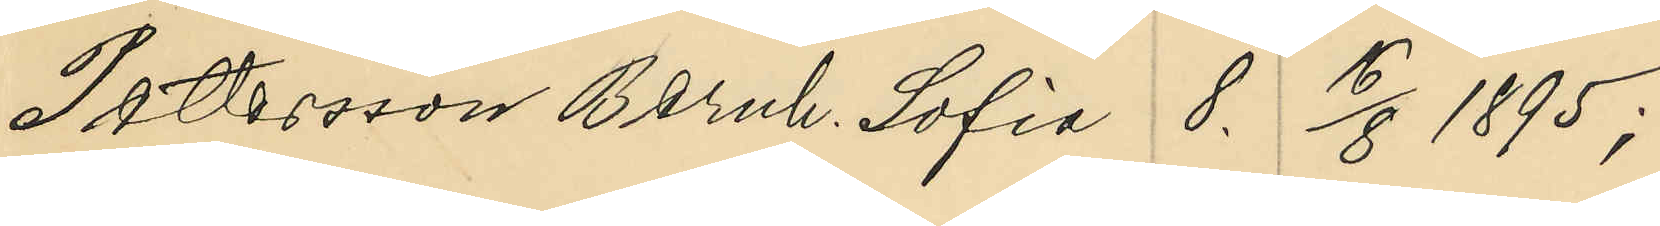Pettersson Bernh. Sofia 8. 16/8 1895;
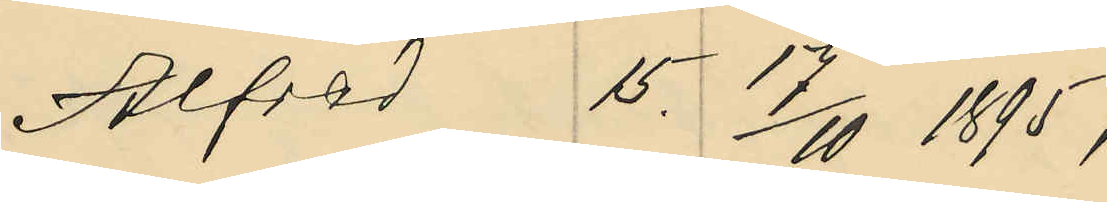Alfred 15. 17/10 1895;
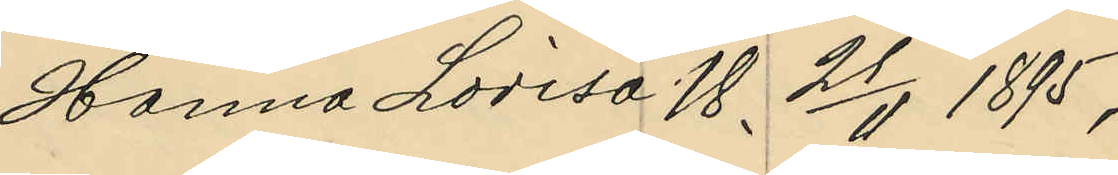Hanna Lovisa 18. 21/11 1895;
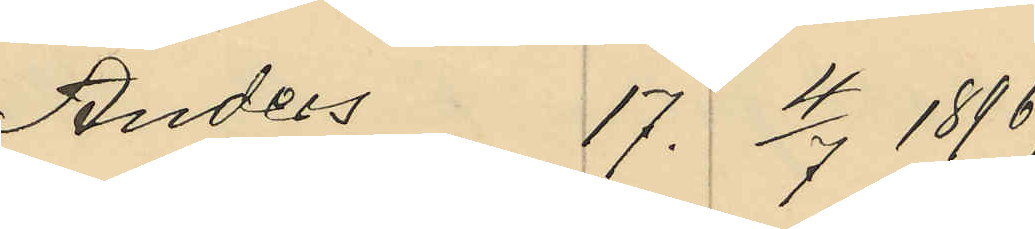Anders 17. 4/7 1896;
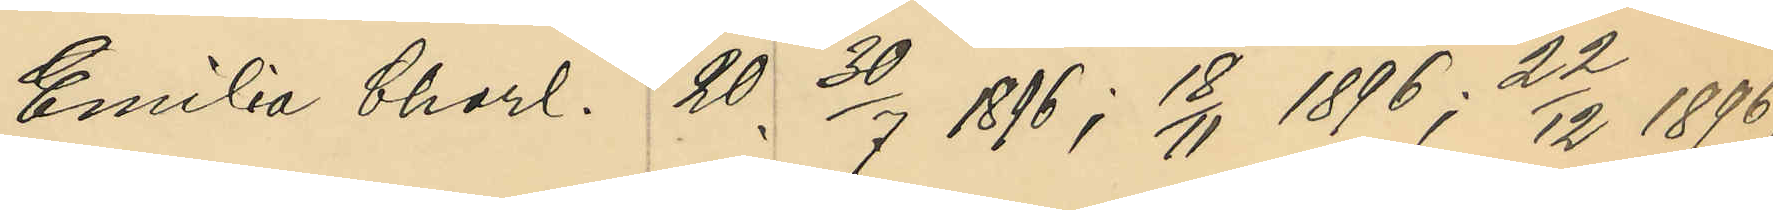Emilia Charl. 20. 30/7 1896; 18/11 1896; 22/12 1896;
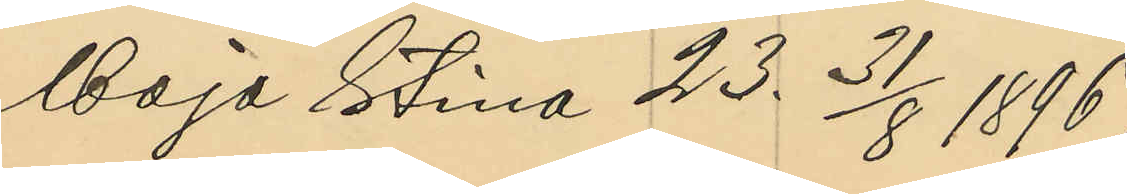Maja Stina 23. 31/8 1896;
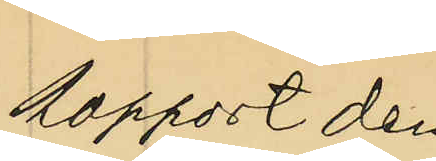Rapport den
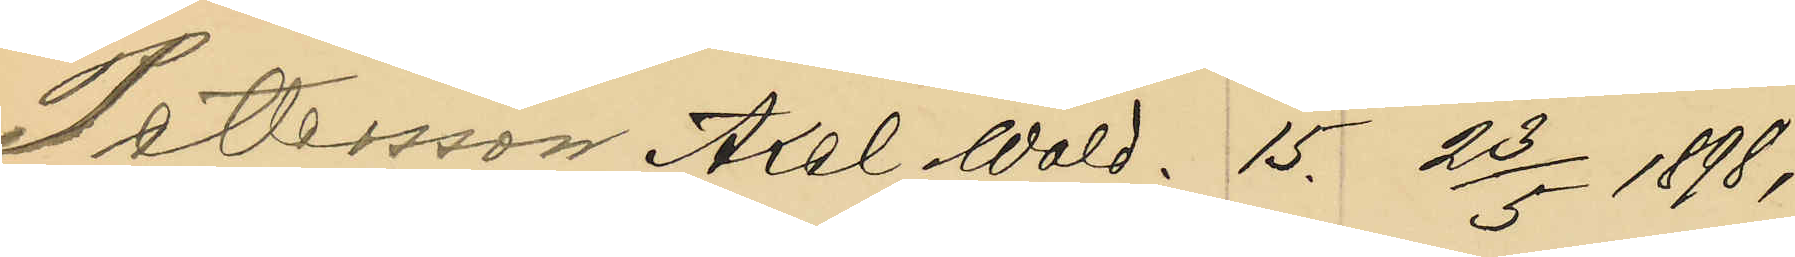Petersson Axel Wald. 15. 23/5 1898;
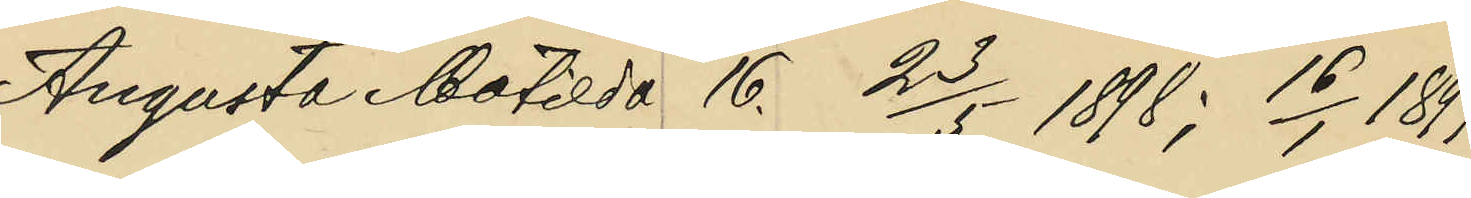Augusta Matilda 16. 23/5 1898; 16/1 1899;
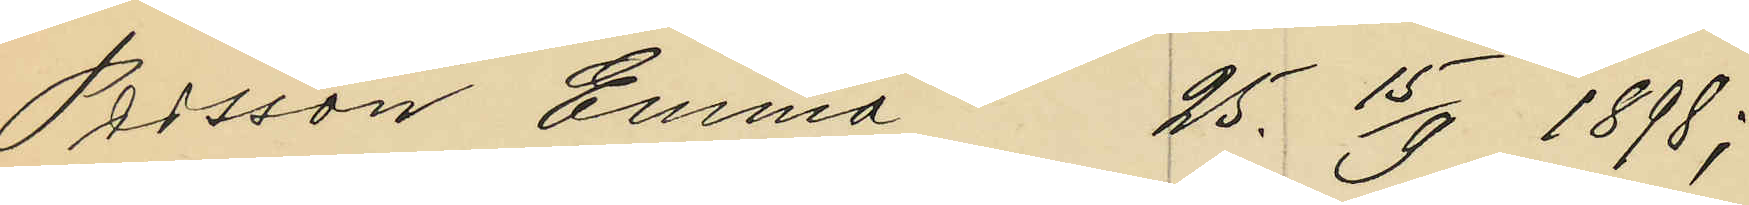Persson Emma 25. 15/9 1898;
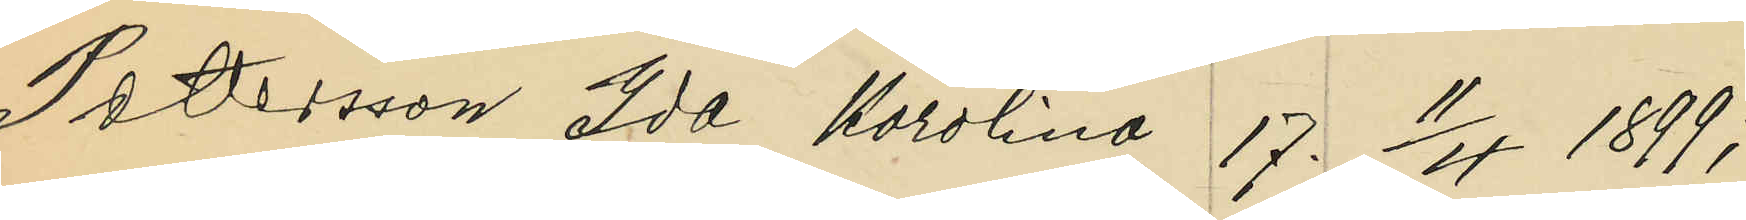Pettersson Ida Karolina 17. 11/4 1899;
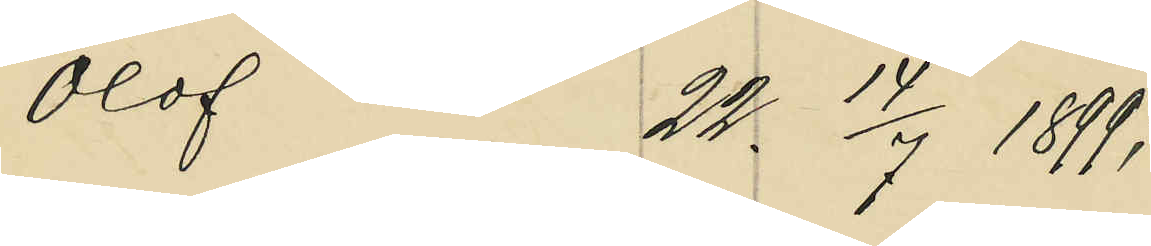Olof 22. 14/7 1899;
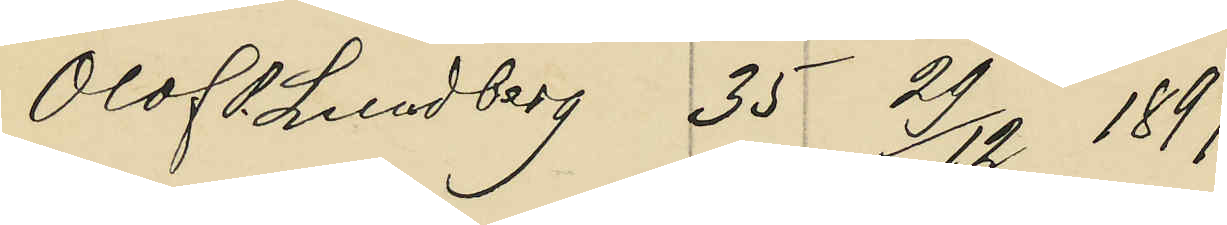Olof P. Lundberg 35. 29/12 1899;
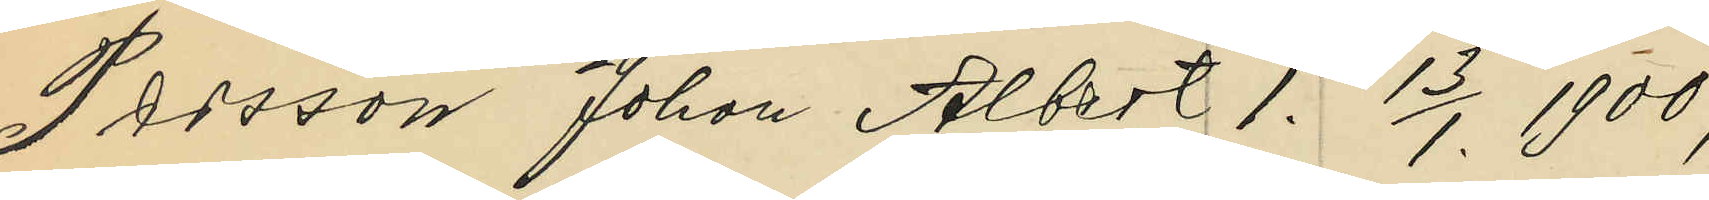Persson Johan Albert 1. 13/1. 1900;
